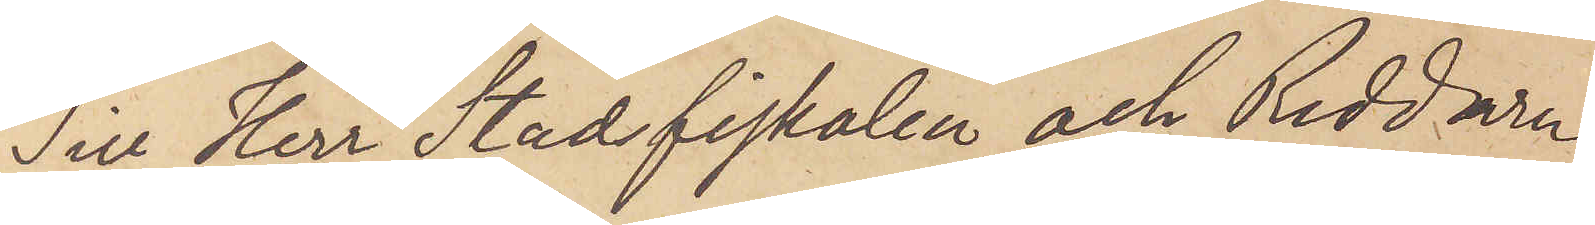Till Herr Stadsfiskalen och Riddaren
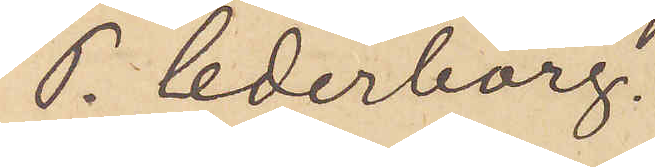P. Cederborg.
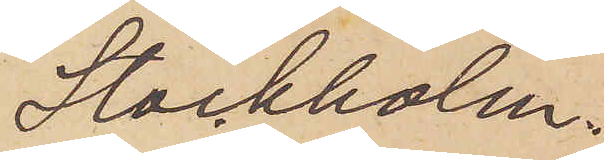Stockholm.
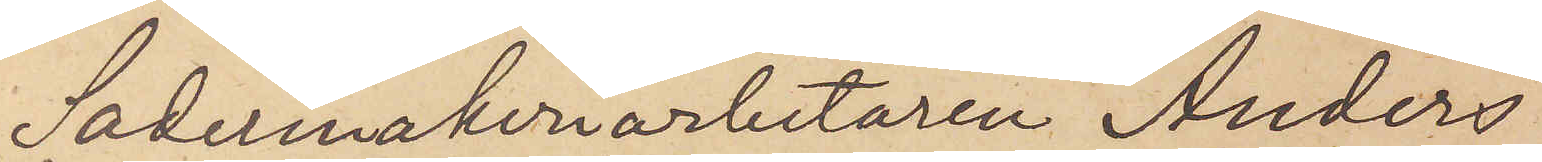Sadelmakeriarbetaren Anders
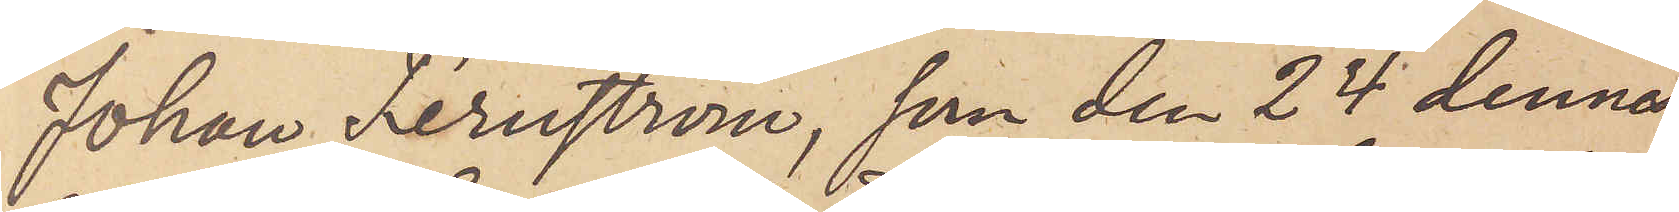Johan Fernström, som den 24 dennes
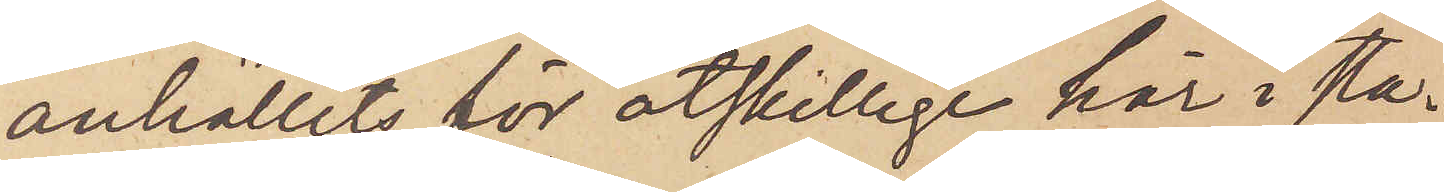anhållits för åtskillige här i sta¬
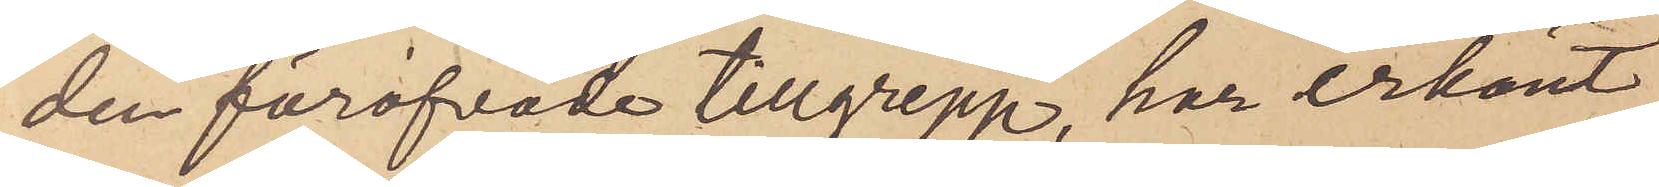den föröfvade tillgrepp, har erkänt
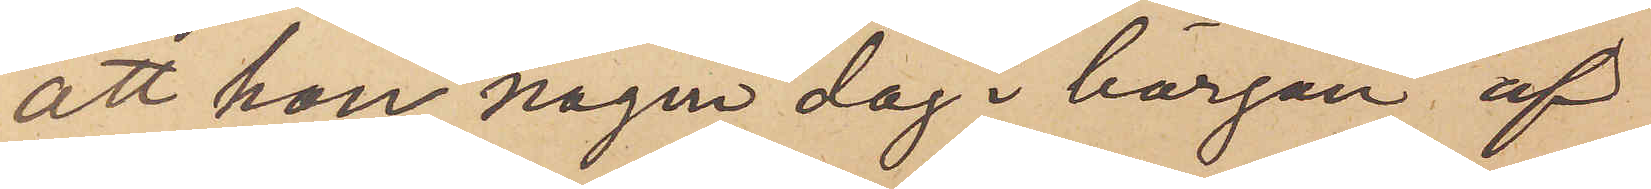att han någon dag i början af
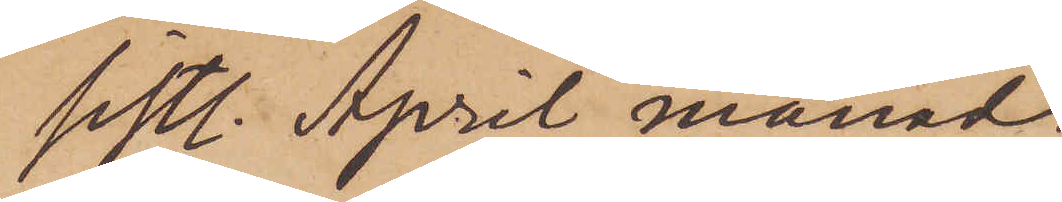sistl. April månad
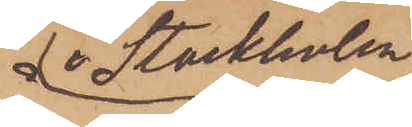i Stockholm
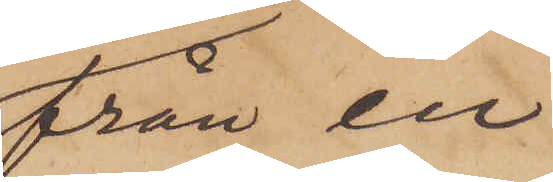från en
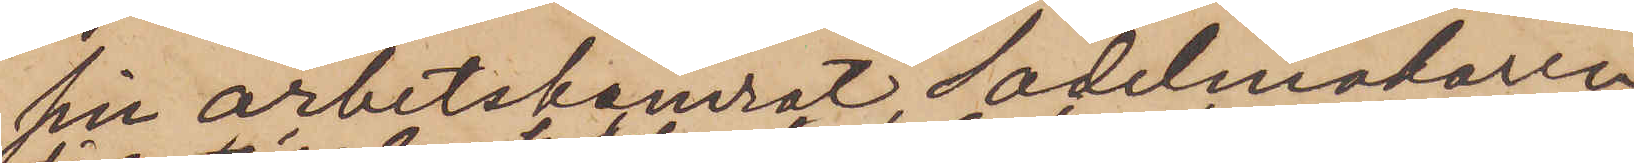sin arbetskamrat Sadelmakaren
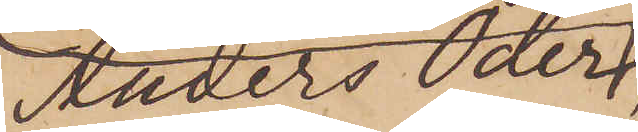Anders Oder,
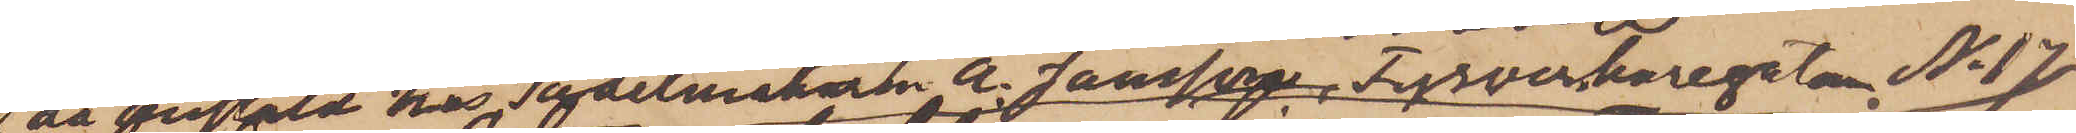då anstäld hos Sadelmakaren A. Jansson, Fyrverkaregatan No 17,
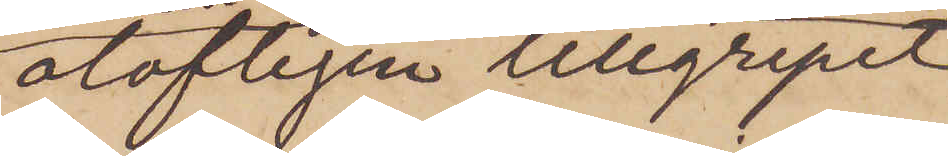olofligen tillgripit
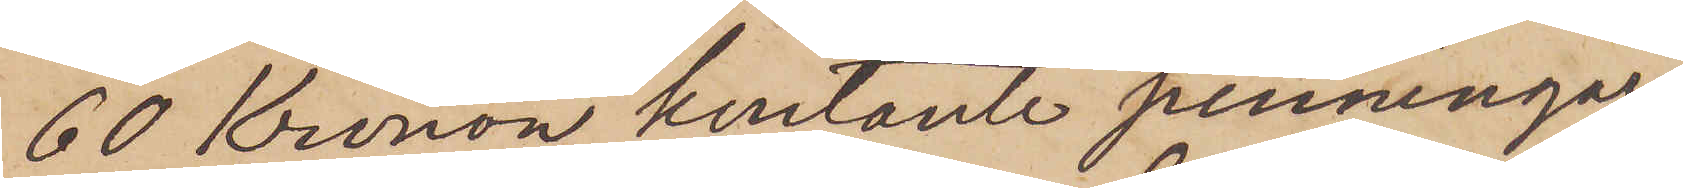60 Kronor kontante penningar,
